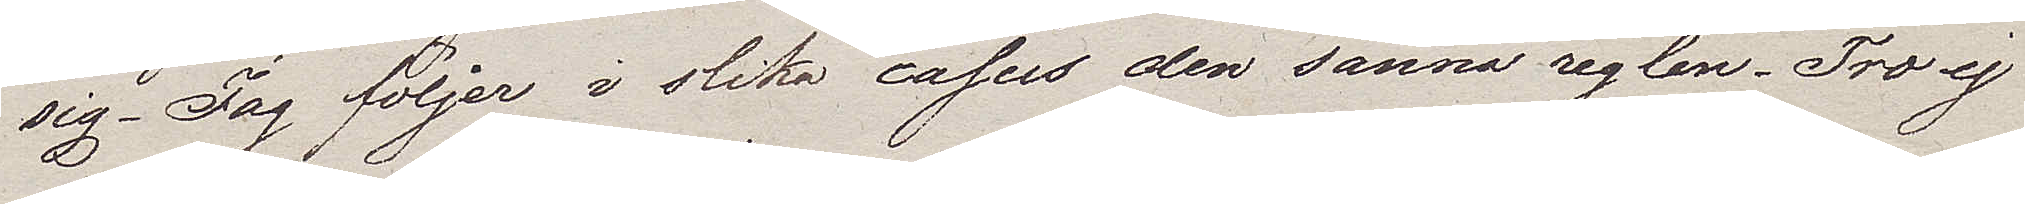sig. Jag följer i slika casus den sanna reglen. Tro ej
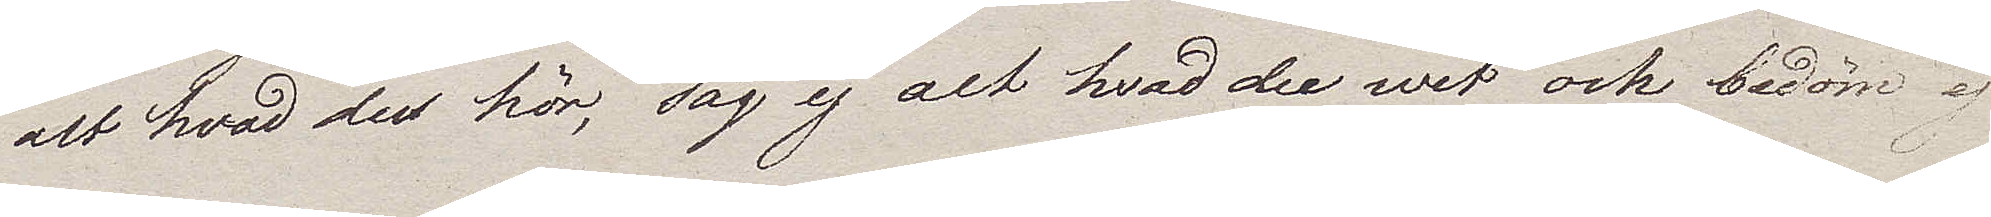alt hvad du hör, säg ej alt hvad den wet och bedöm ej
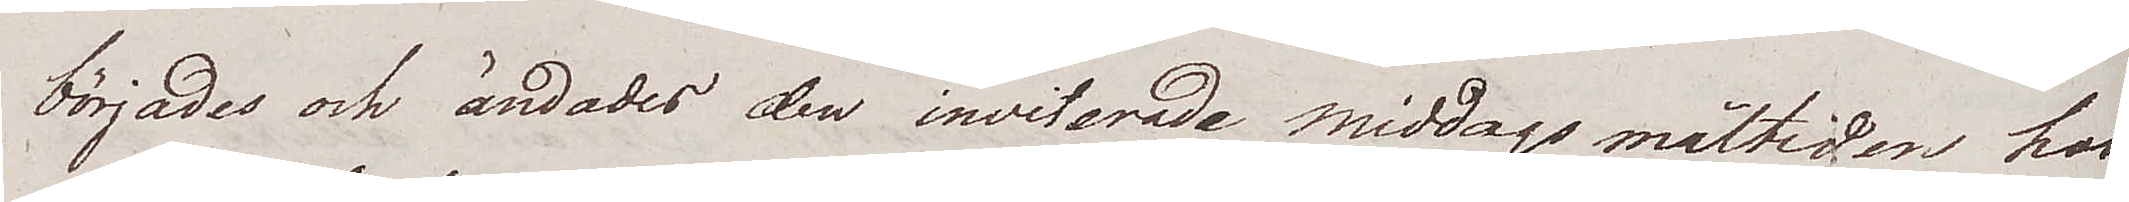börjades och ändades den inviterade middagsmåltiden hos
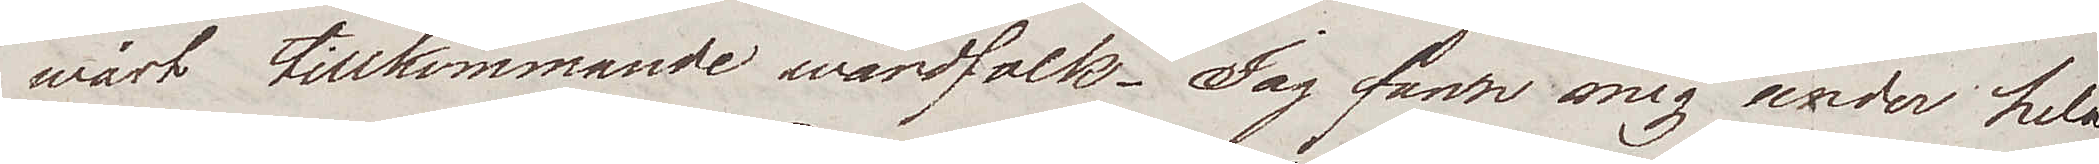wårt tillkommande wärdfolk. Jag fann mig under hela
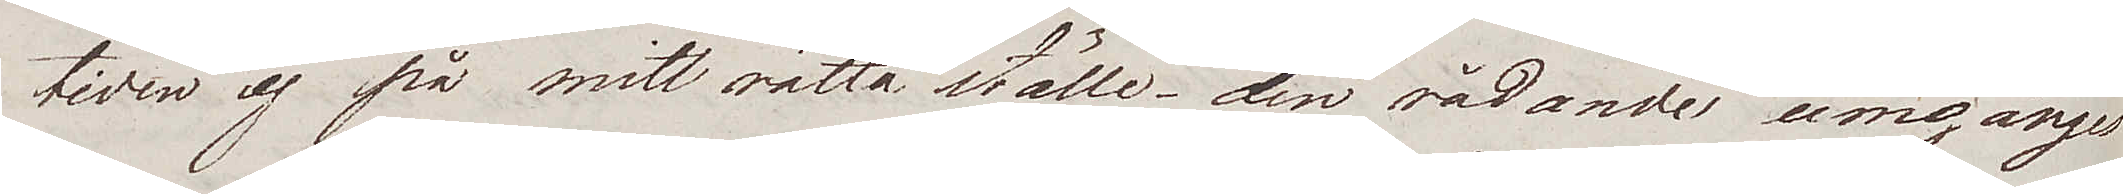tiden ej på mitt rätta ställe – den rådande umgänges
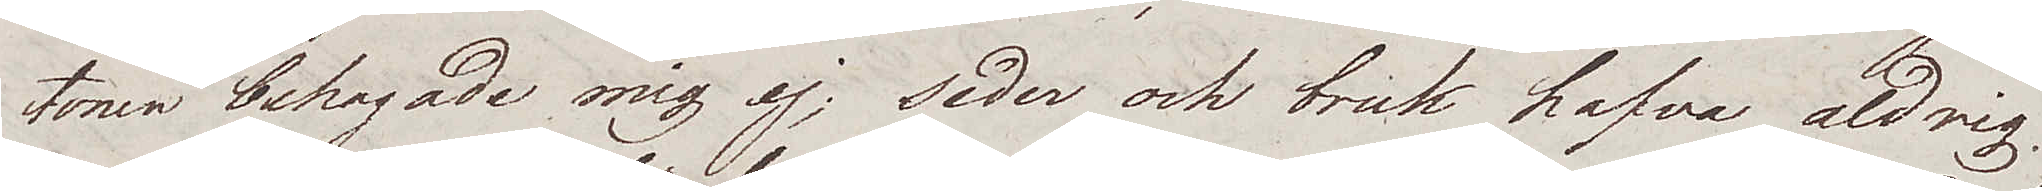tonen behagade mig ej, seder och bruk hafva aldrig
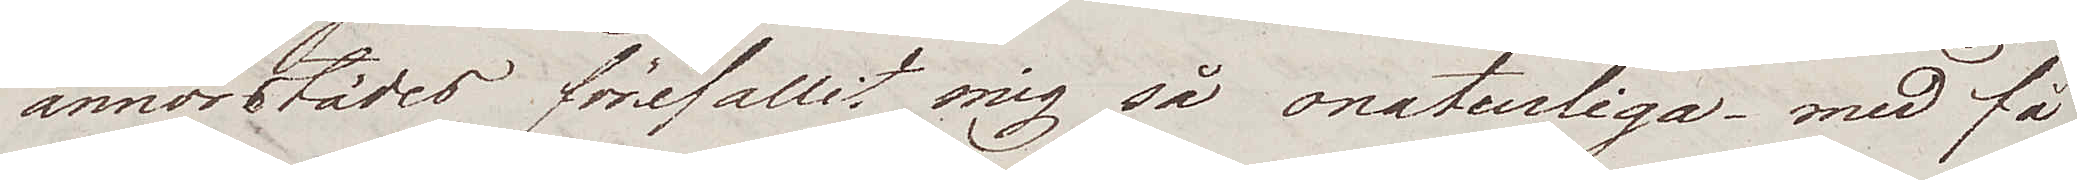annorstädes förefallit mig så onaturliga – med få
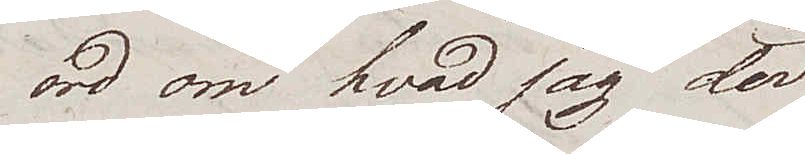ord om hvad jag der
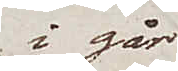i går
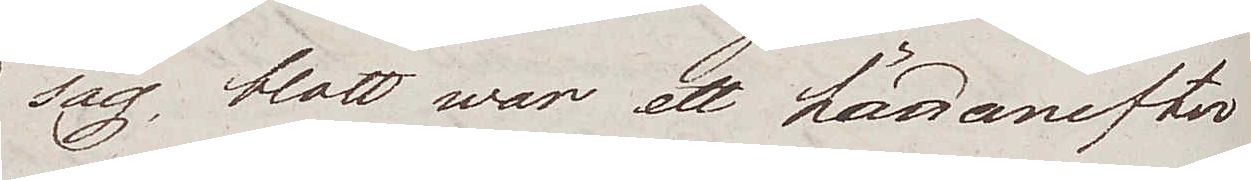såg, blott war ett hädanefter
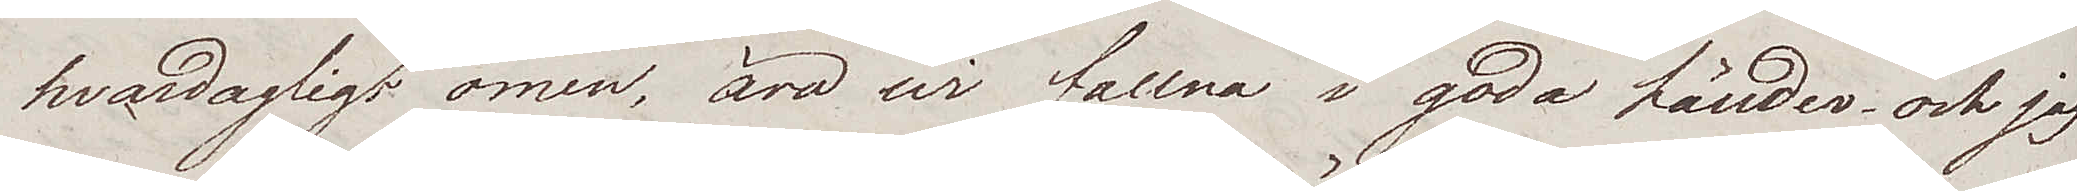hvardagligt omen, äro wi fallna i goda händer och jag
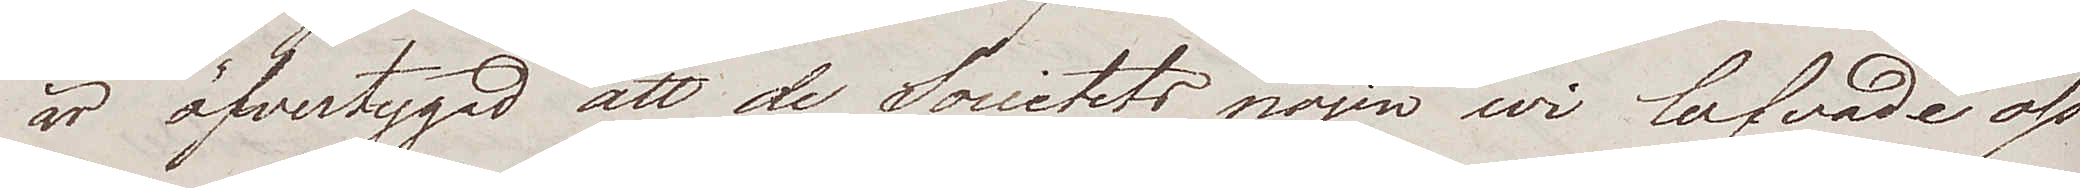är öfvertygad att de Societets nöjen wi lofvade oss
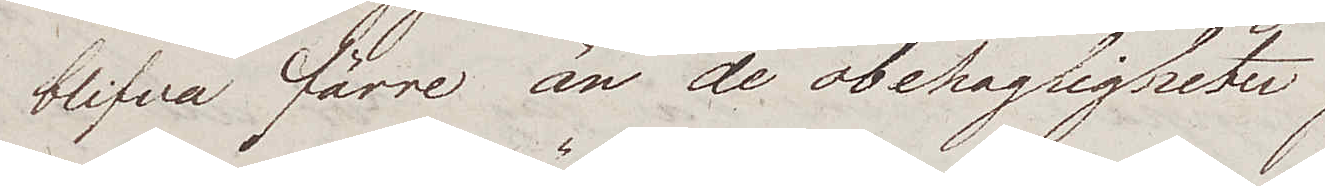blifva färre än de obehagligheter
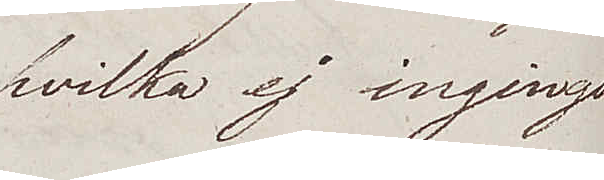hvilka ej ingingo
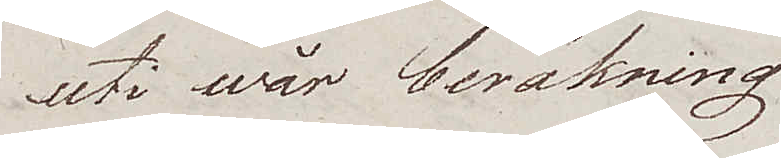uti wår beräkning.
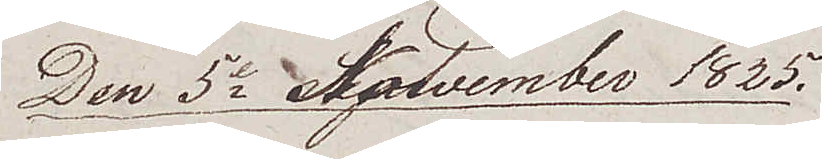Den 5e November 1825.
